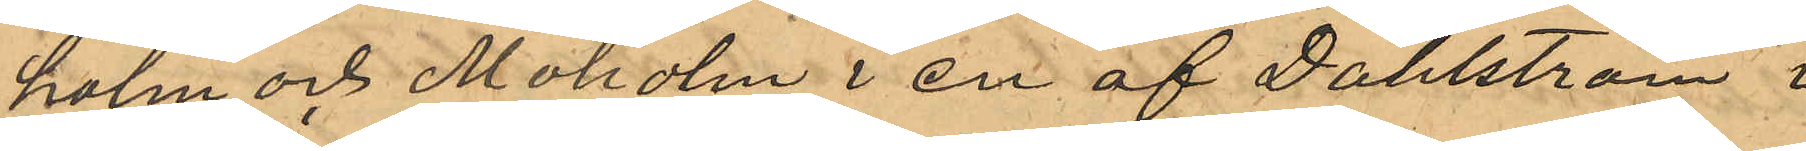holm och Moholm i en af Dahlström i
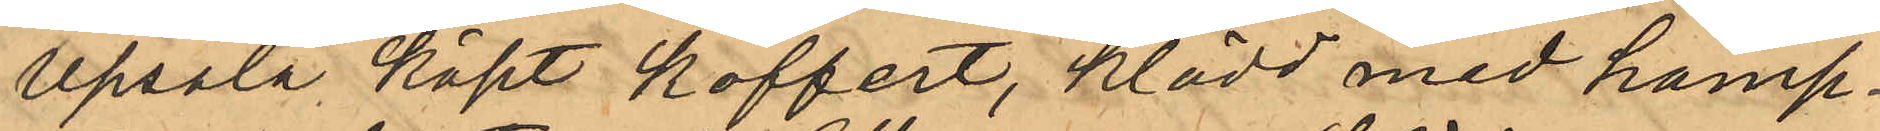Upsala köpt koffert, klädd med hamp¬
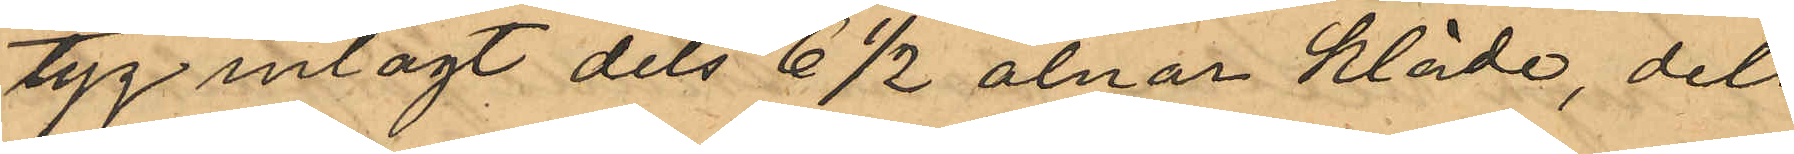tyg inlagt dels 6 1/2 alnar kläde, dels
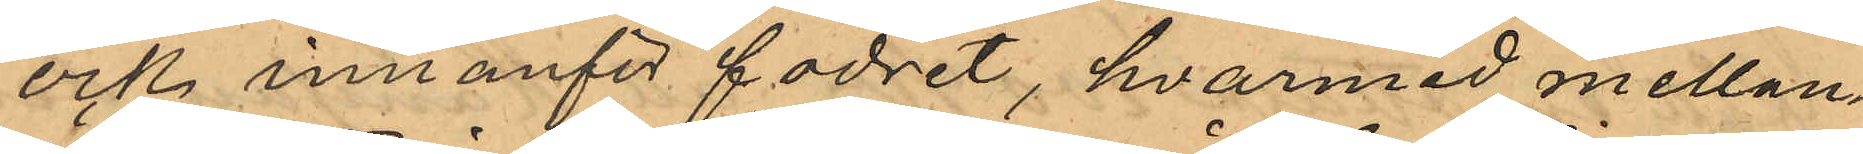ock innanför fodret, hvarmed mellan¬
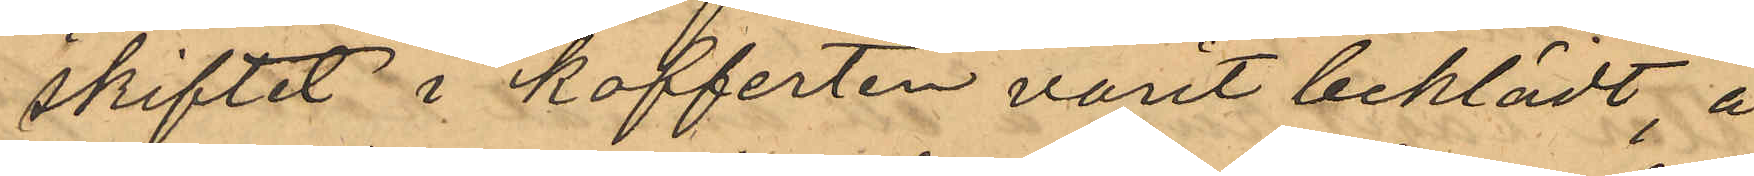skiftet i kofferten varit beklädt, å
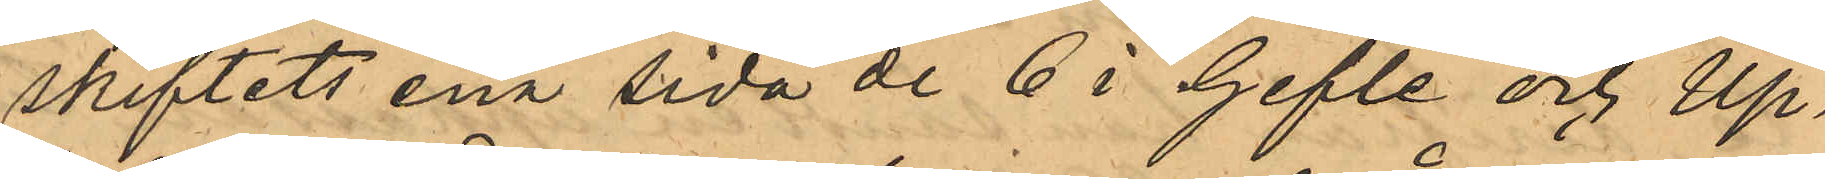skiftets ena sida de 6 i Gefle och Up¬
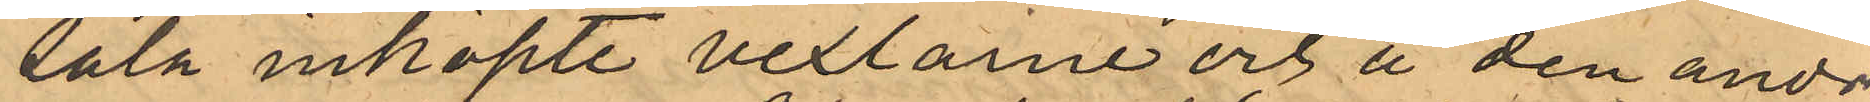sala inköpte vexlarne och å den andre
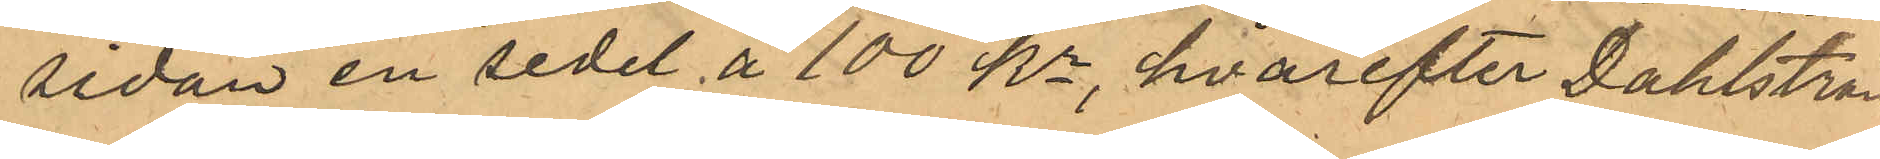sedan en sedel å 100 Kr, hvarefter Dahlström
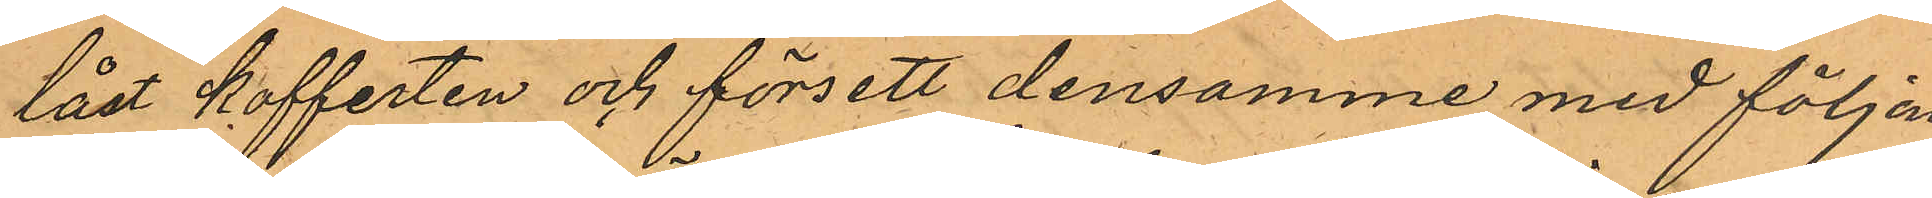låst kofferten och försett densamme med följan¬
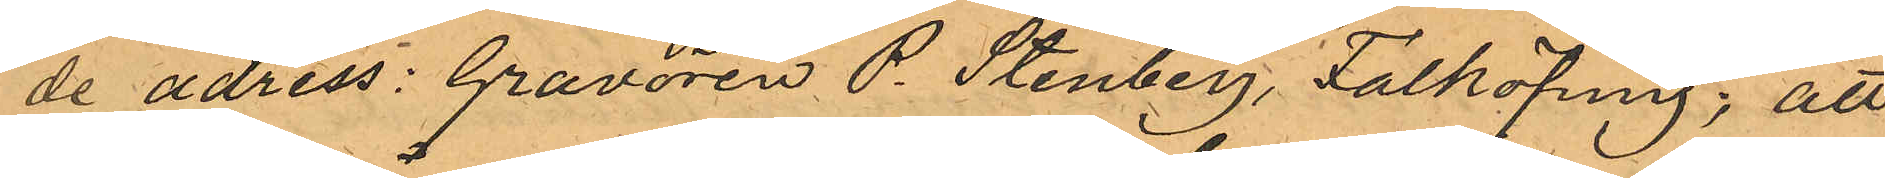de adress: Gravören P. Stenberg, Falköping; att
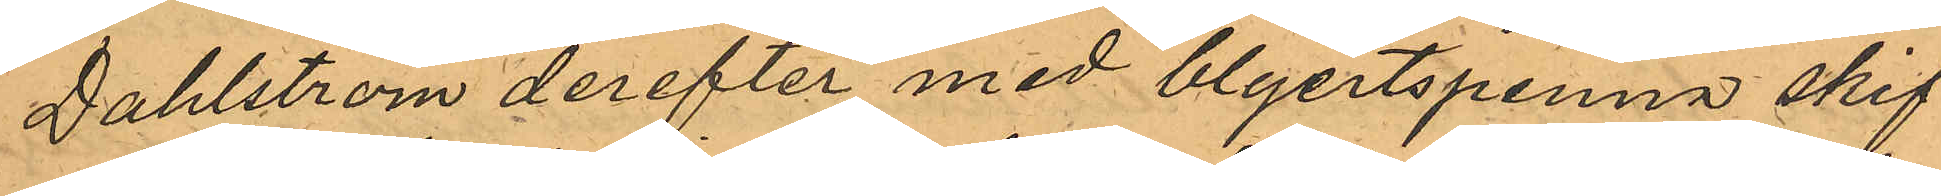Dahlström derefter med blyertspenna skif¬
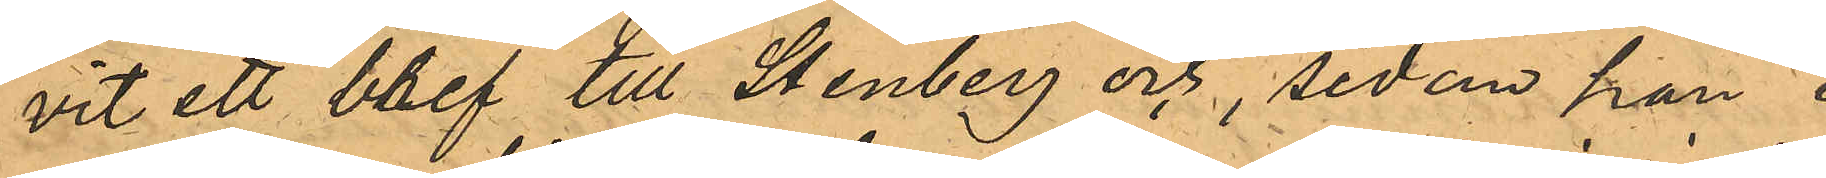vit ett bref till Stenberg och, sedan han i
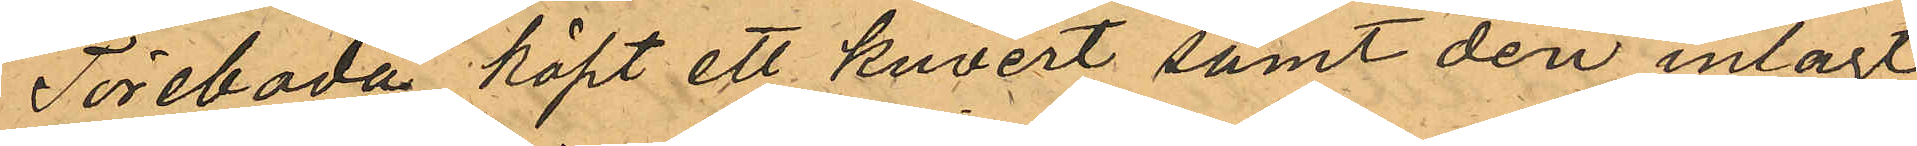Töreboda köpt ett kuvert samt deri inlagt
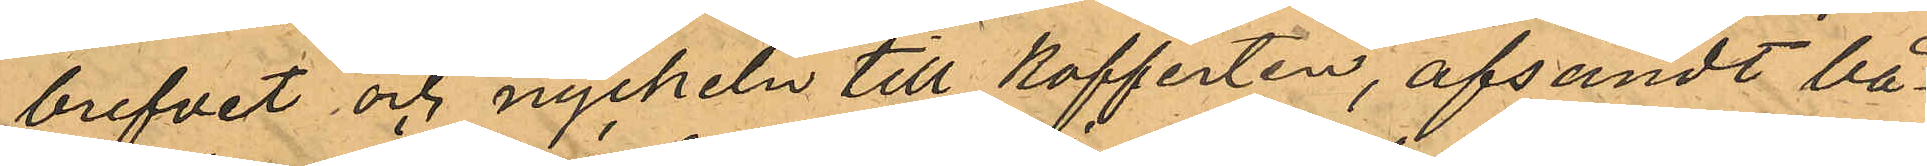brefvet och nyckeln till kofferten, afsändt bå¬
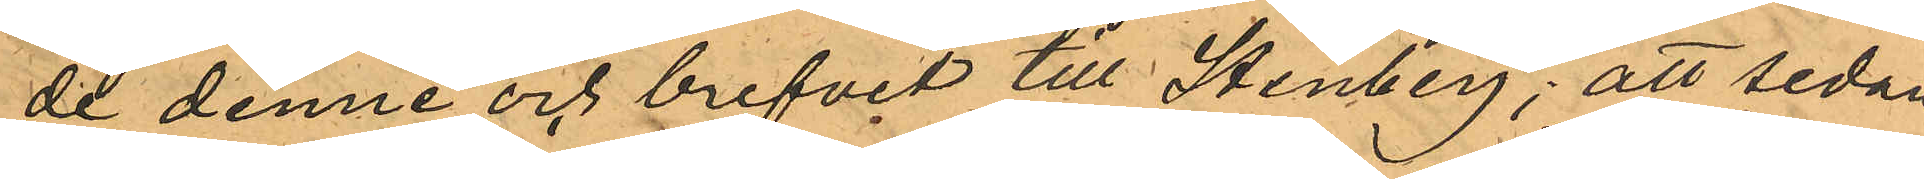de denne och brefvit till Stenberg; att sedan
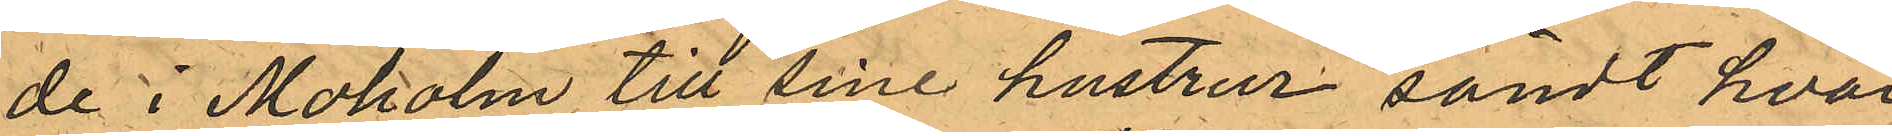de i Moholm till sine hustrur sändt hvar
